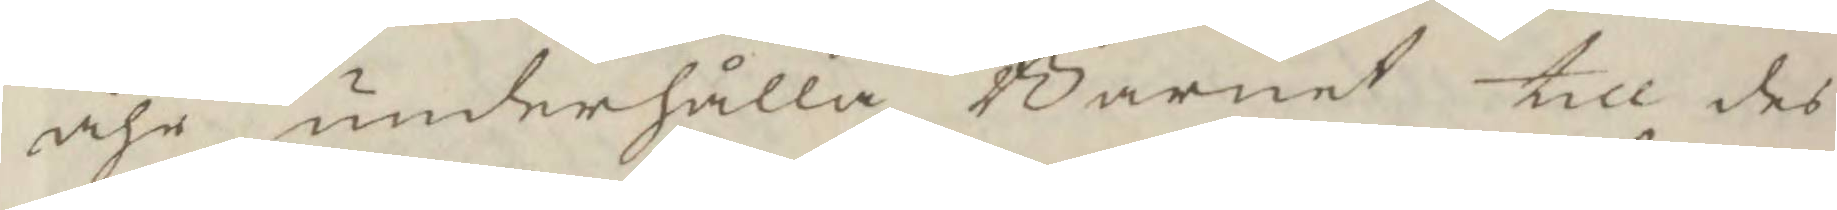åhr underhålla Barnet till des
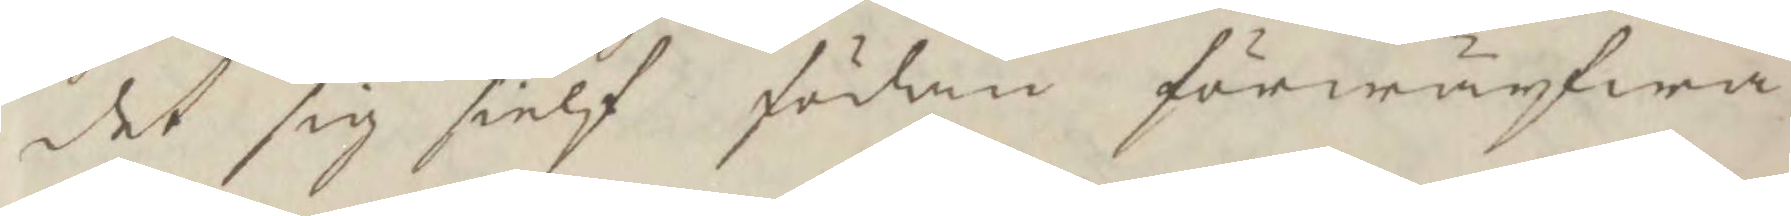det sig sielf födan förwärfwa
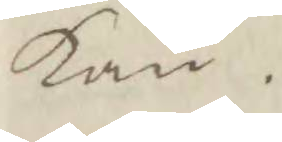kan.
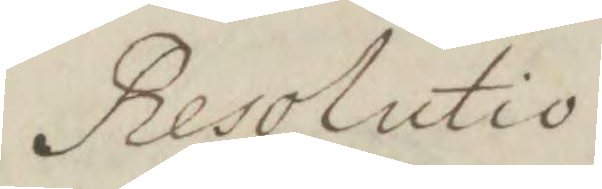Resolutio
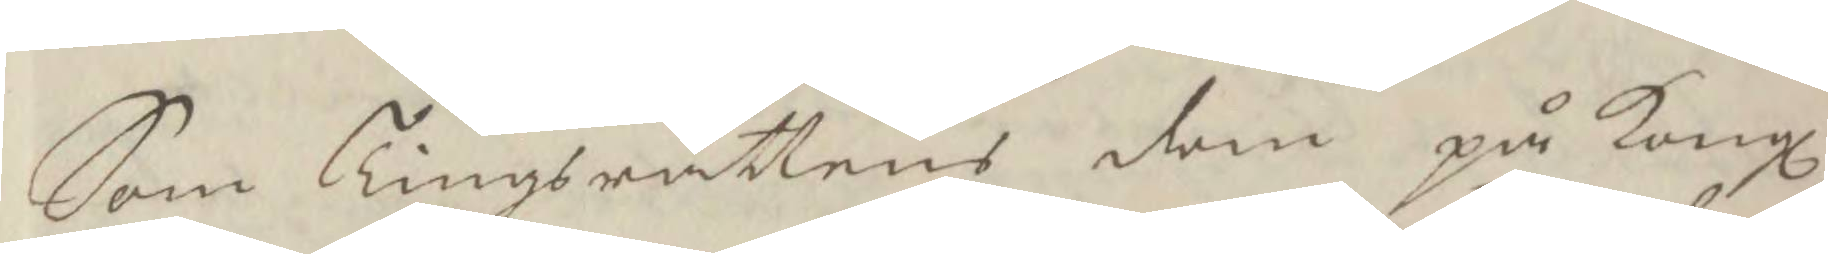Som Tingsrättens dom på Kongl
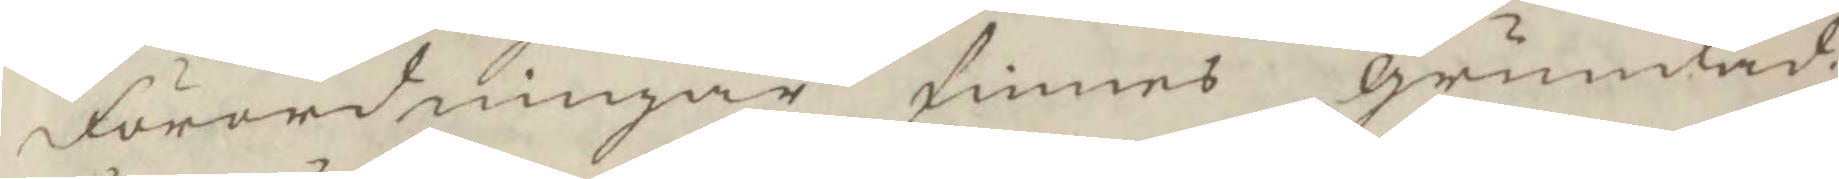Förordningar finnes grundad;
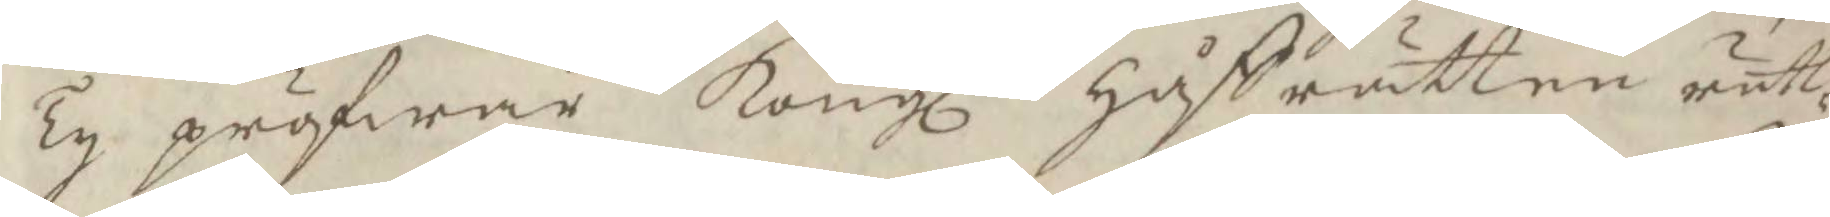Ty pröfwar Kongl Håffrätten rätt¬
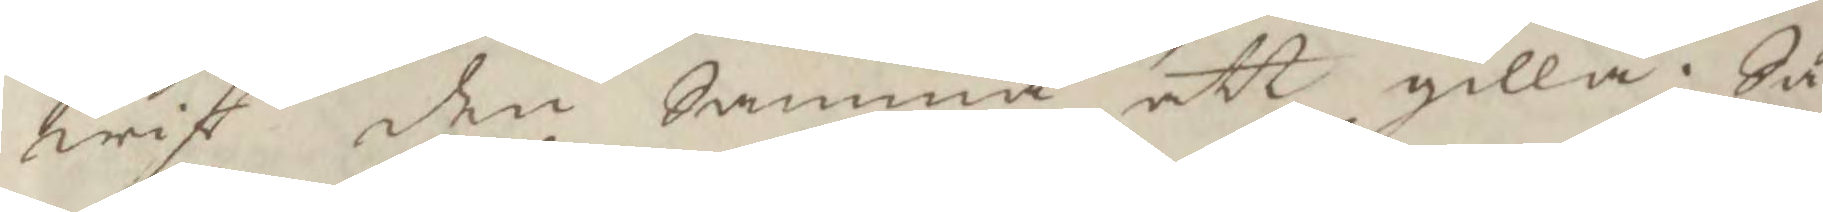wist den Samma att gilla. Så
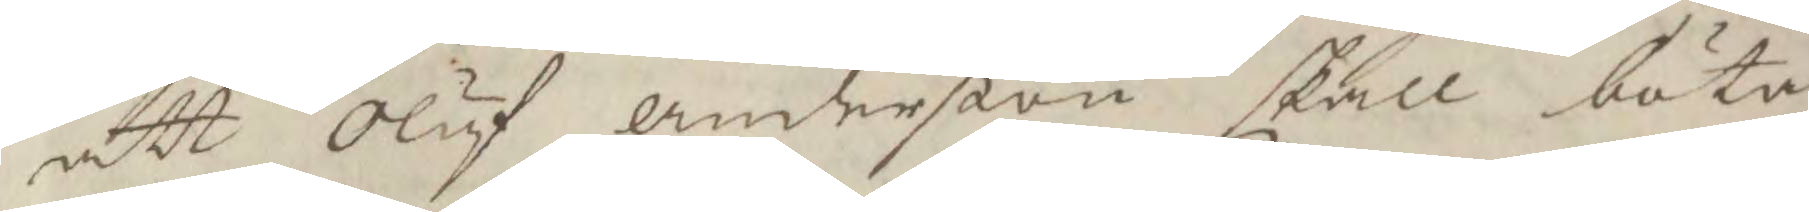att Oluf anderßon skall böta
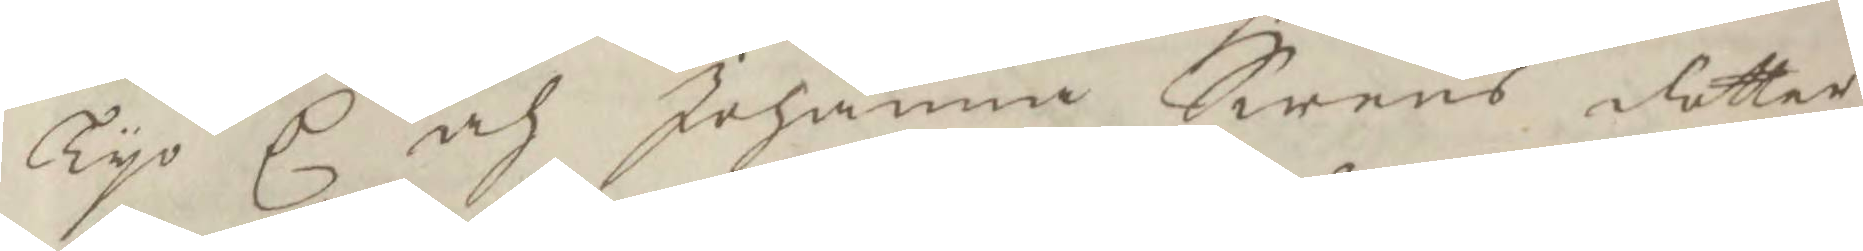Tyo C och Johanna Swens dotter
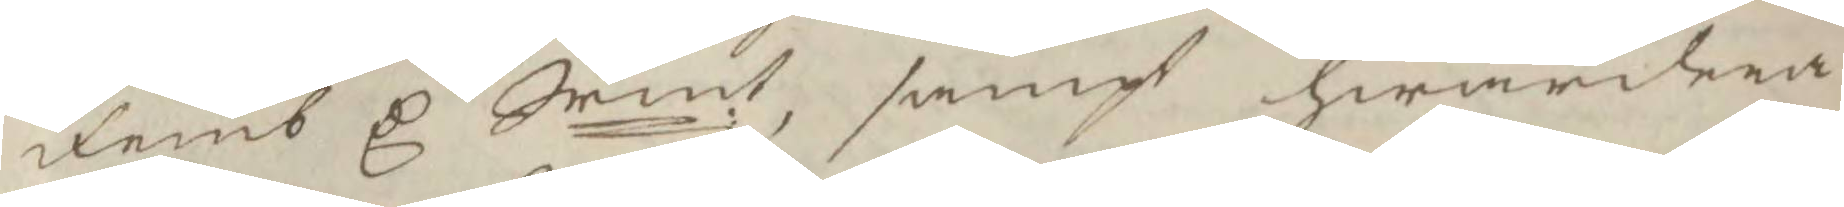Femb C Srmt, samt hwardera
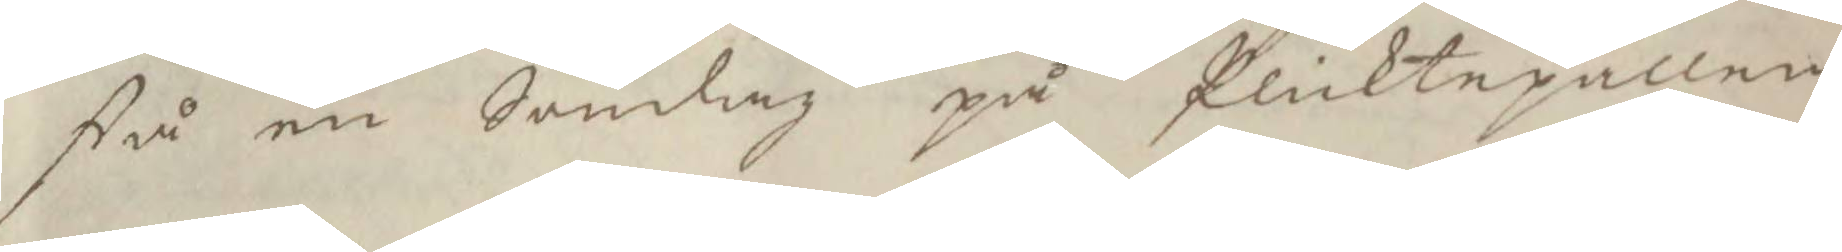stå en Sondag på Plicktepallen
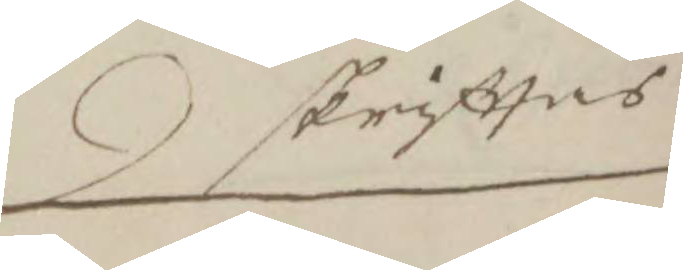skrifttas
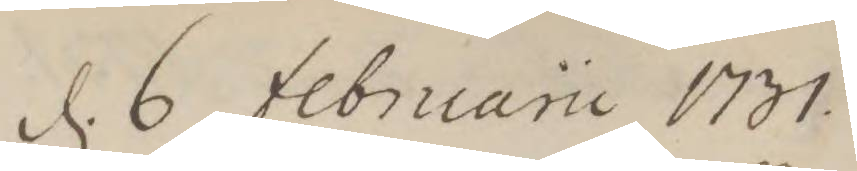d. 6 februarii 1731
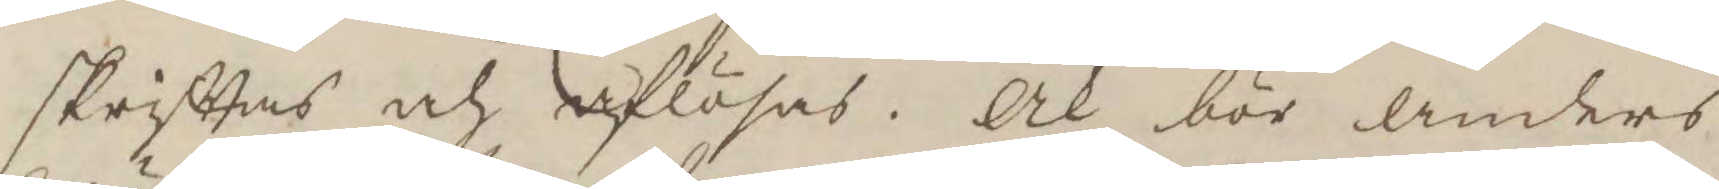skrifttas och aflösas. Och bör anders
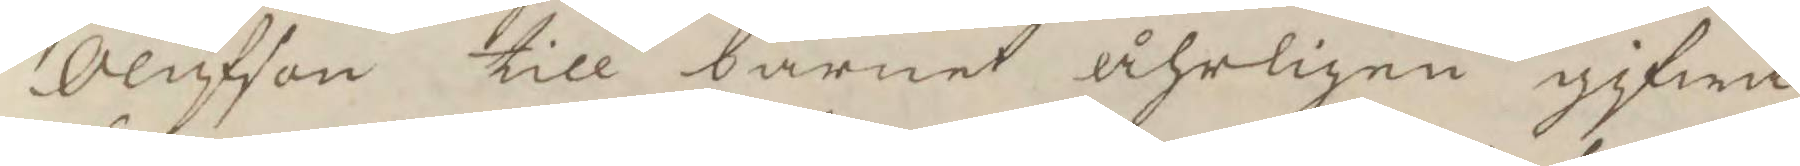Olufsson till barnet åhrligen gifwa
